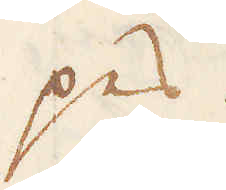pes.
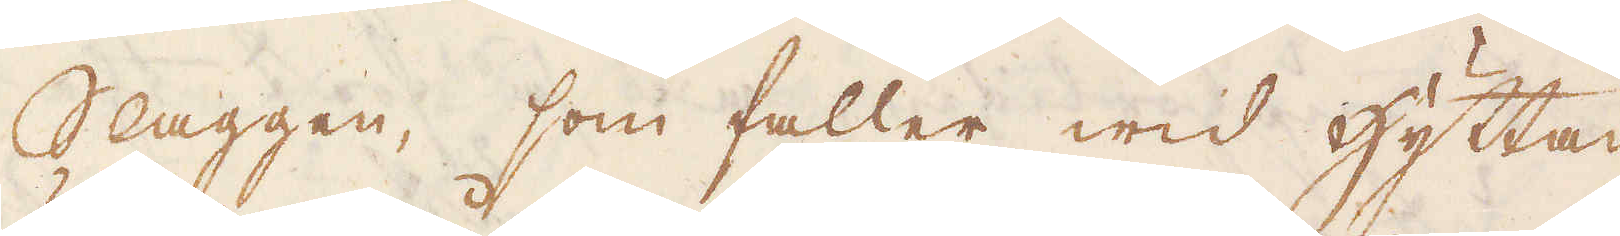Slaggen, som faller wid hyttan,
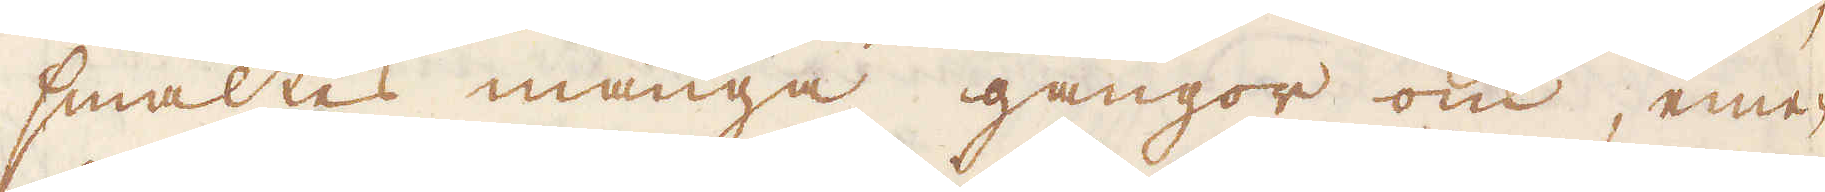smältes många gångor om, eme-
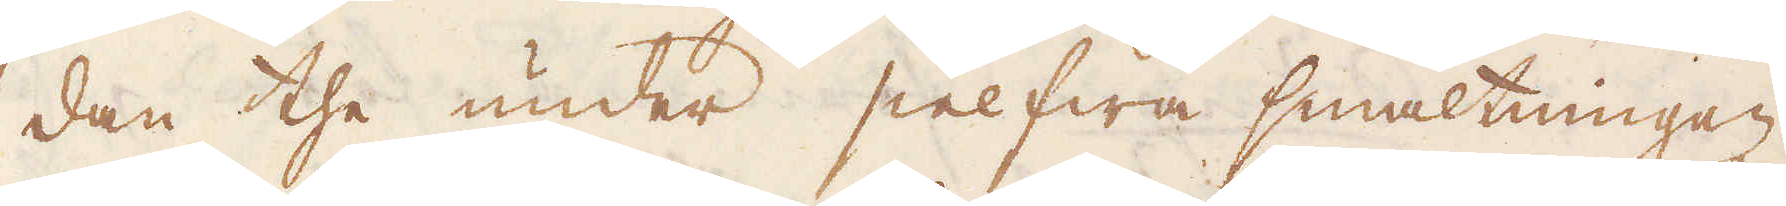dan the under sielfwa smältningen
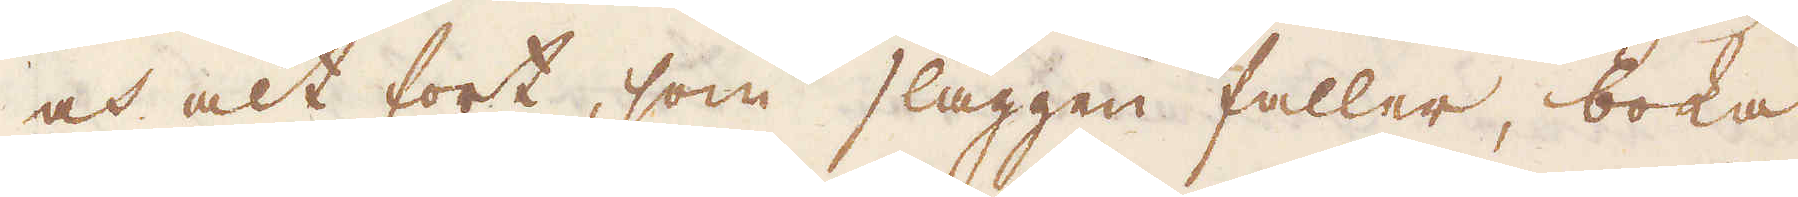och alt fort, som slaggen faller, boka
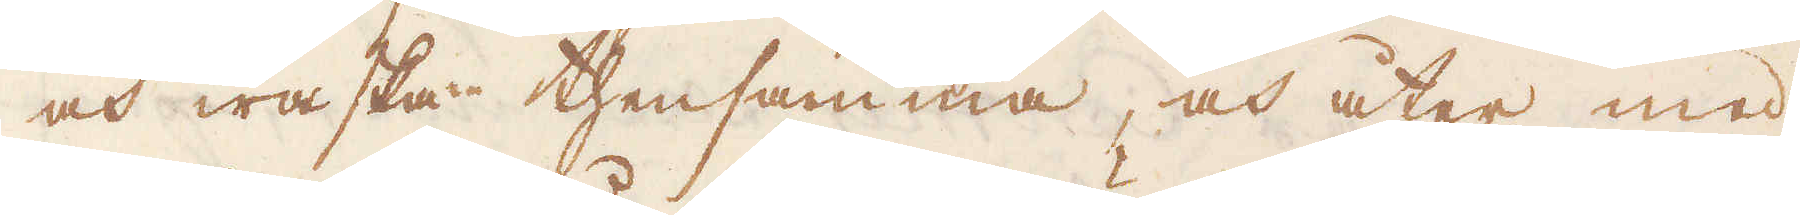och waska thensamma, och åter med
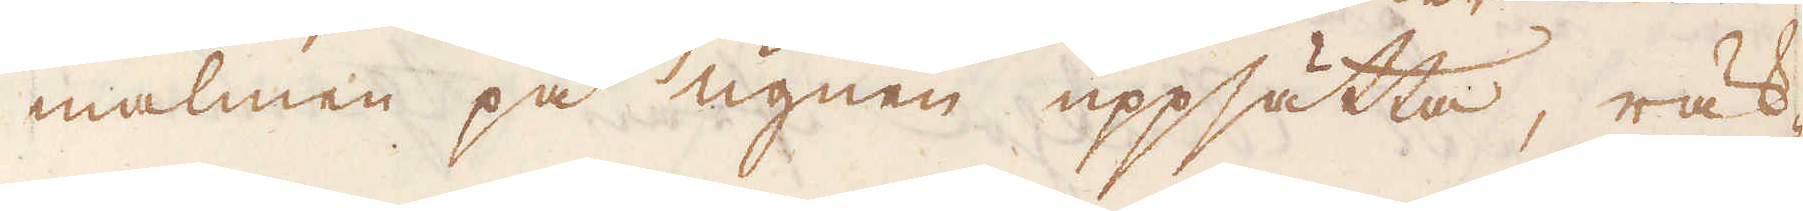malmen på ugnen uppsätta, räk-
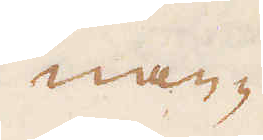nan-
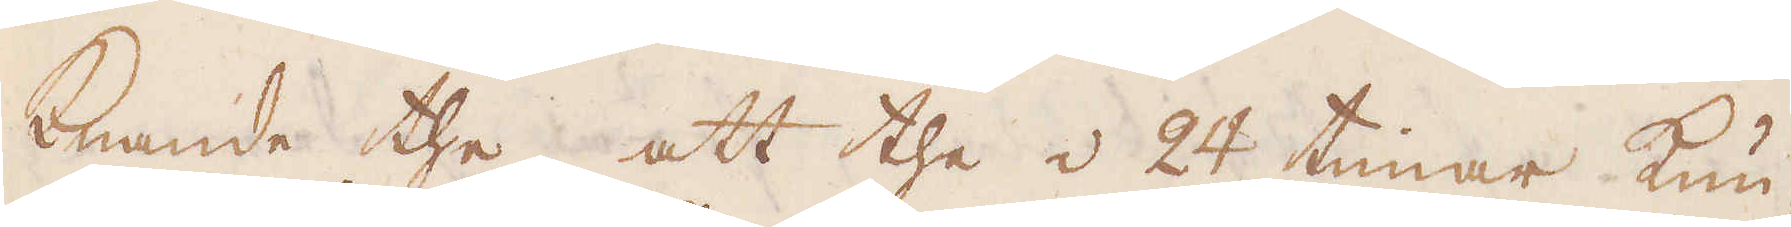knande the, att the i 24 timar kun-
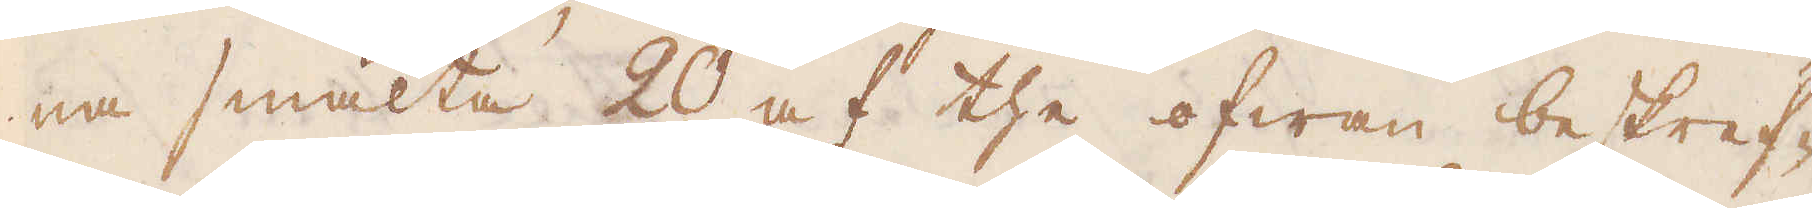na smälta 20 af the ofwan beskref-
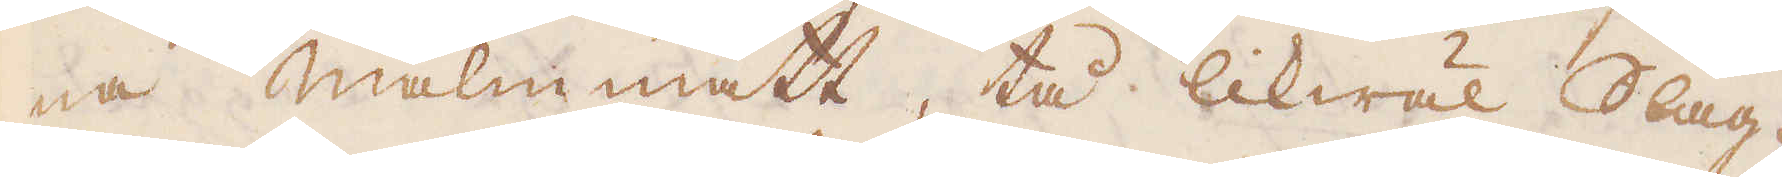na malmmått, tå likwäl Slag-
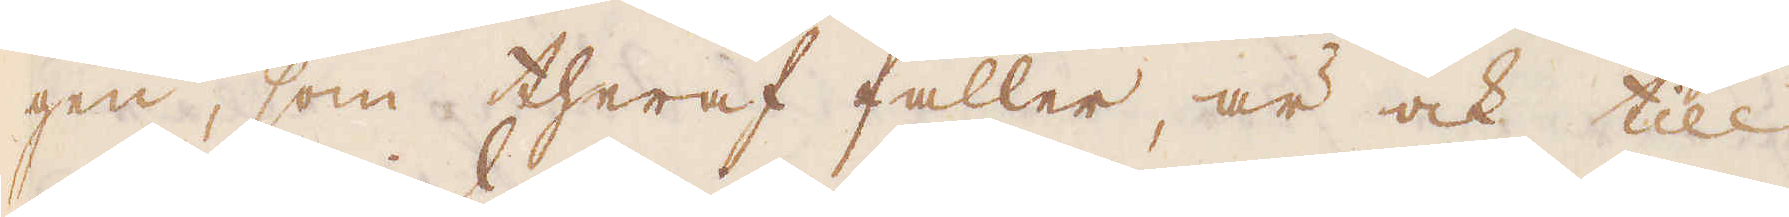gen, som theraf faller, är ock till
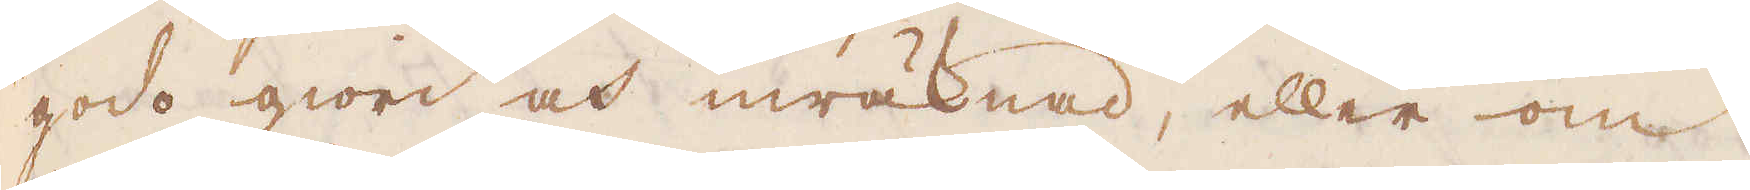godo giord och inräknad, eller om
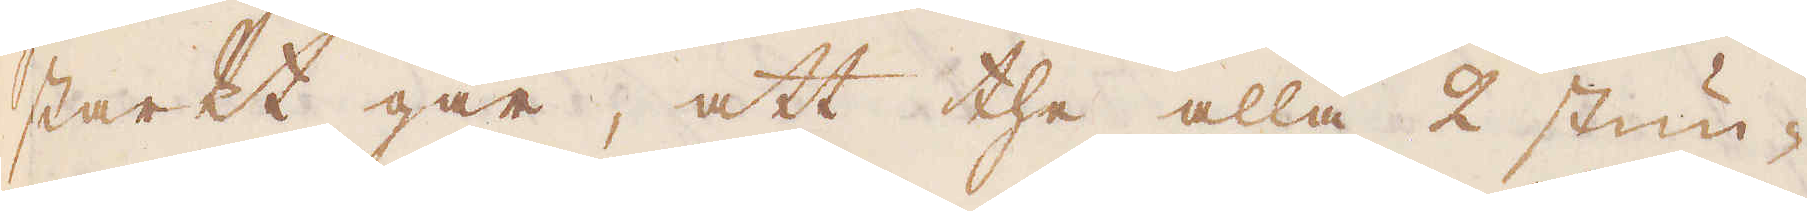starkt går, att the alla 2 stun-
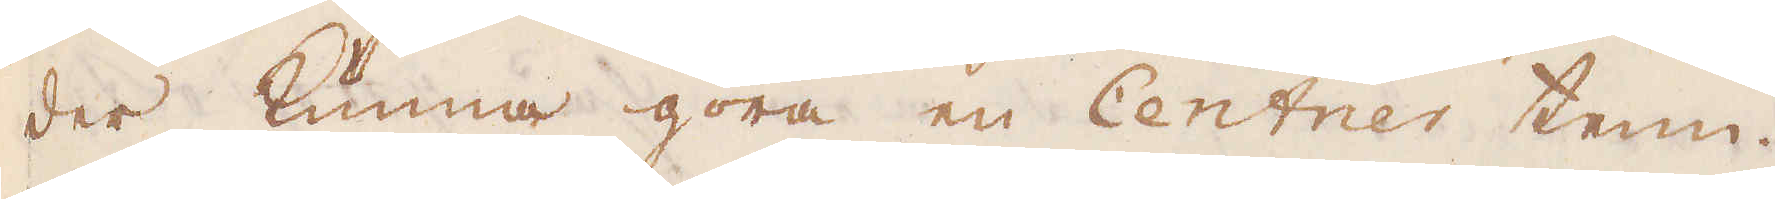der kunna göra en Centner tenn.
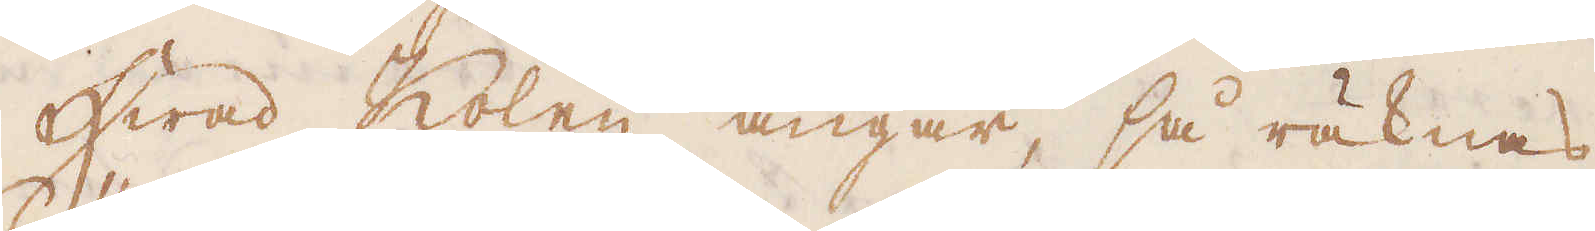Hwad Kolen angår, så räknas
